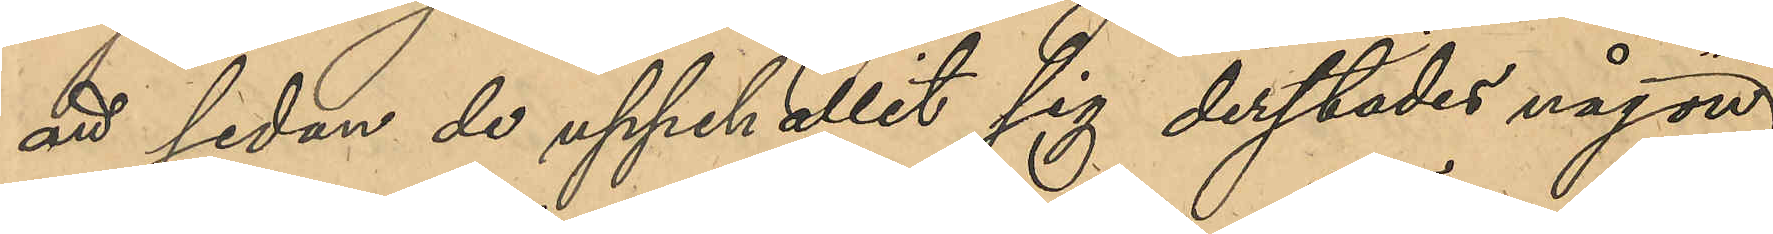att sedan de uppehållit sig derstädes någon kort
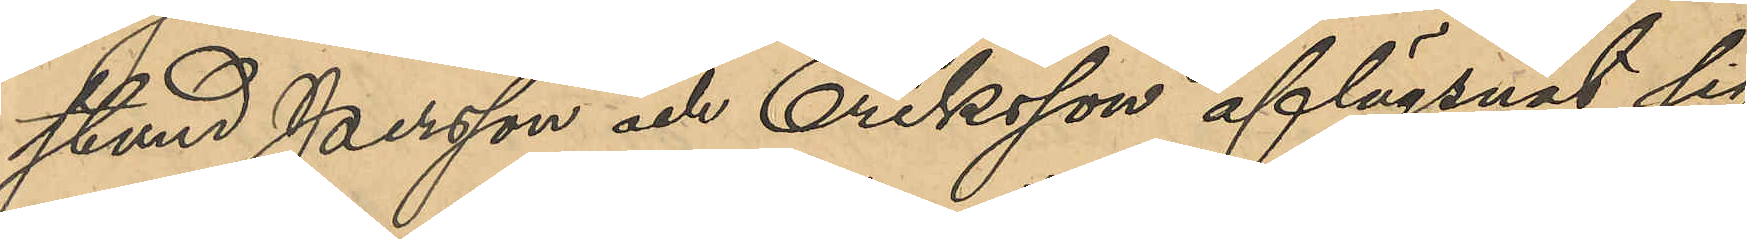stund Persson och Eriksson aflägsnat sig
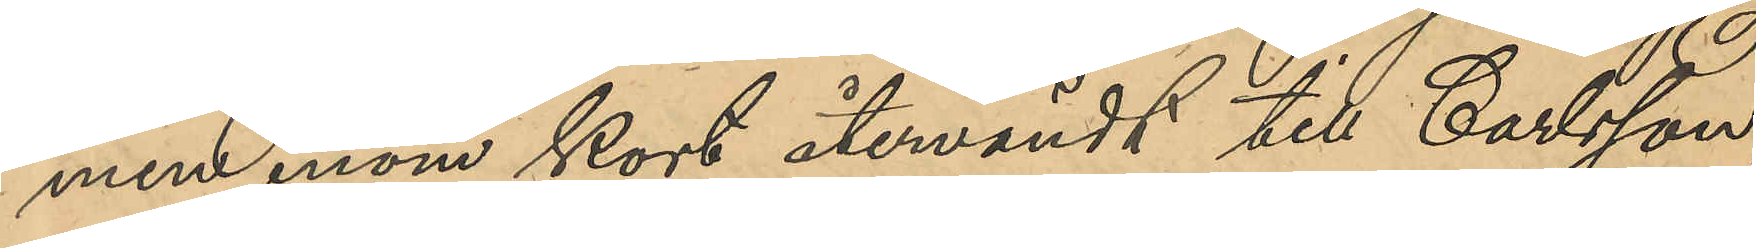men inom kort återvändt till Carlsson
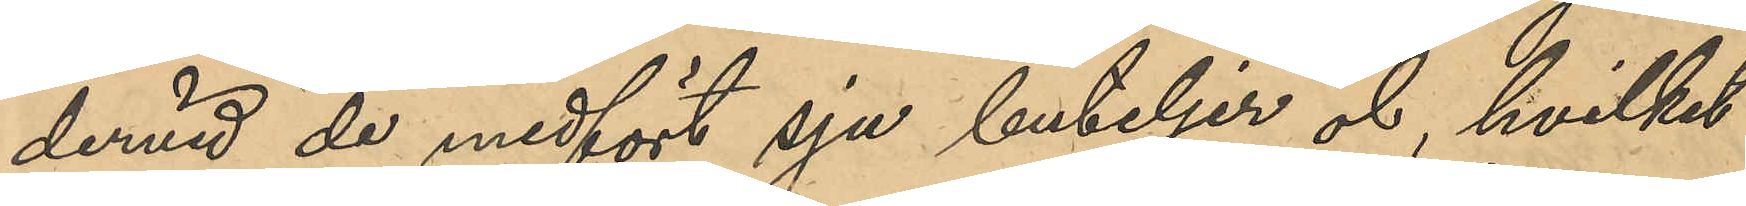dervid de medfört sju buteljer öl, hvilket
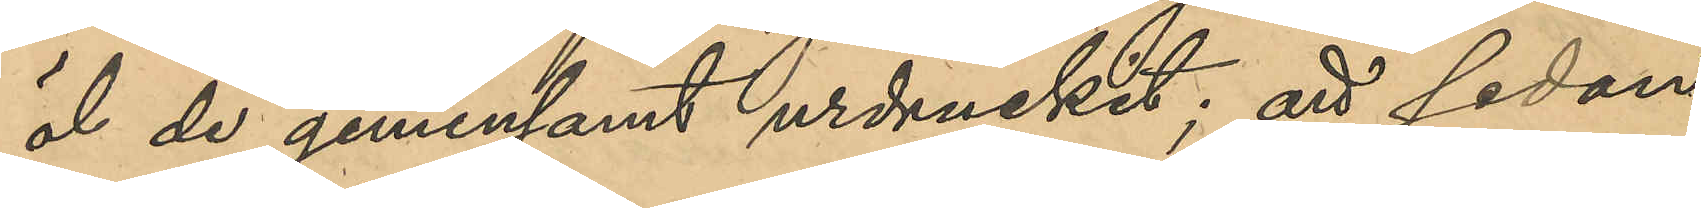öl de gemensamt urdruckit; att sedan
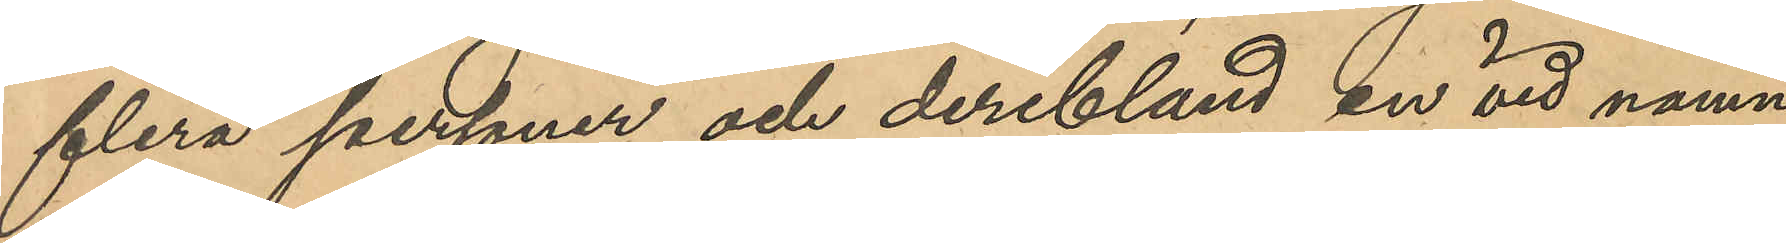flera personer och deribland en vid namn
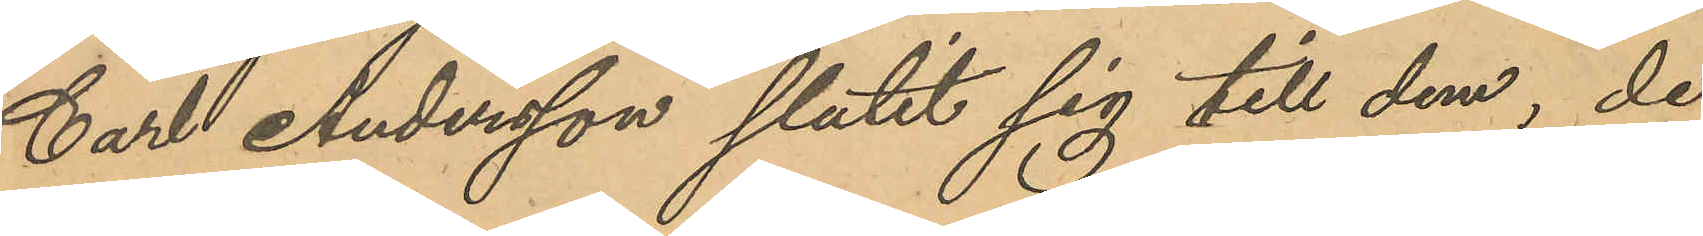Carl Andersson slutit sig till dem, de
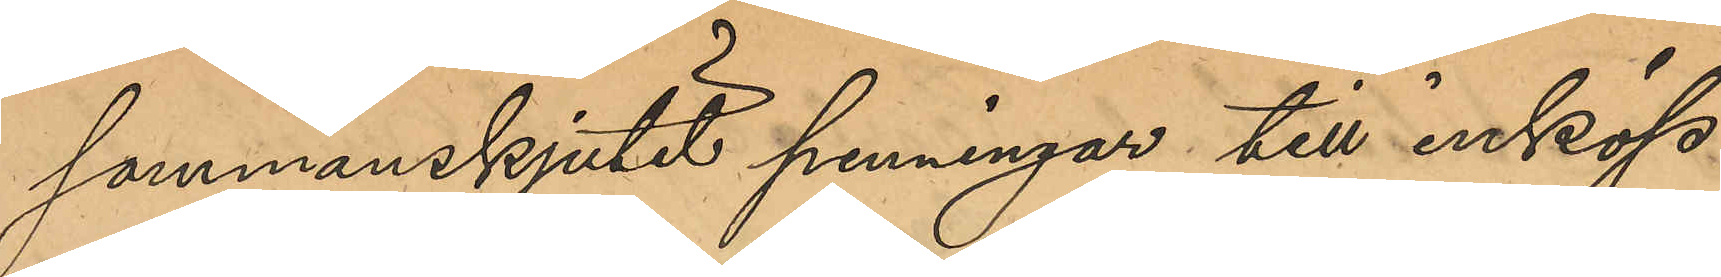sammanskjutit penningar till inköp
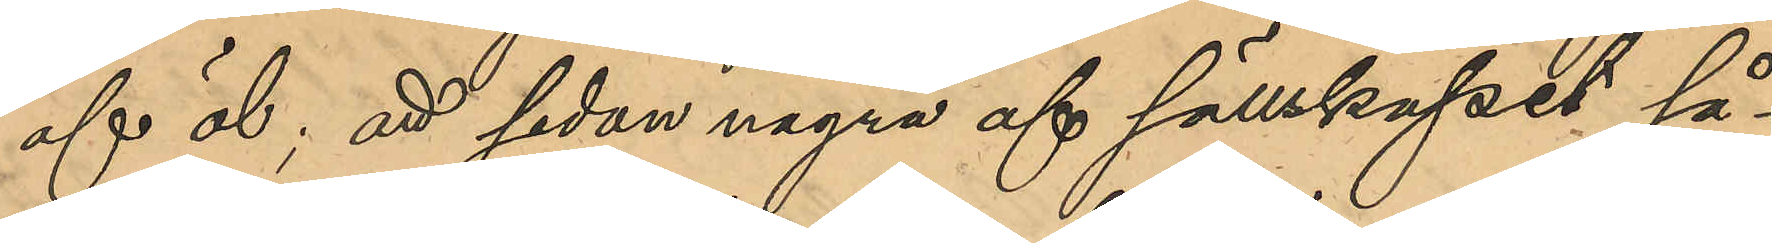af öl; att sedan några af sällskapet så¬
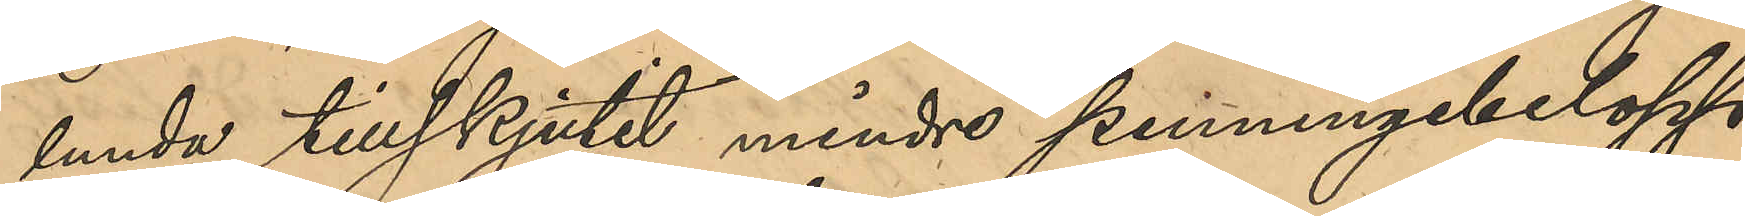lunda tillskjutit mindre penningbelopp,
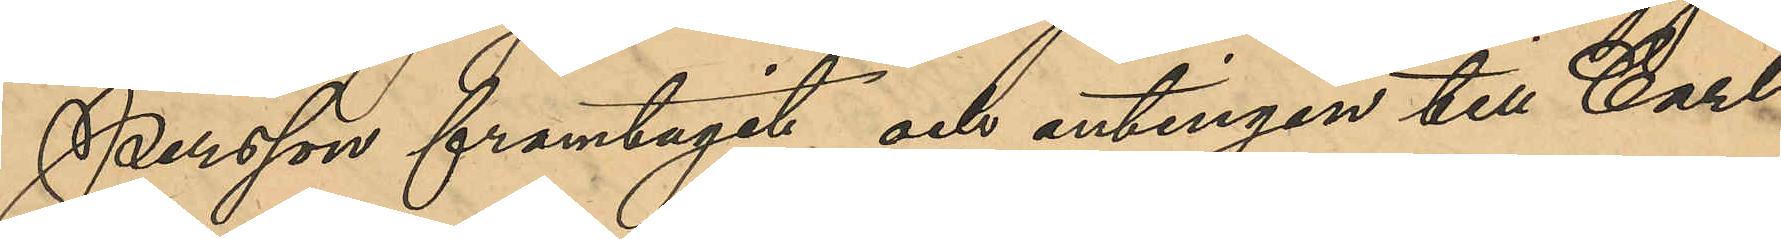Persson framtagit och antingen till Carl
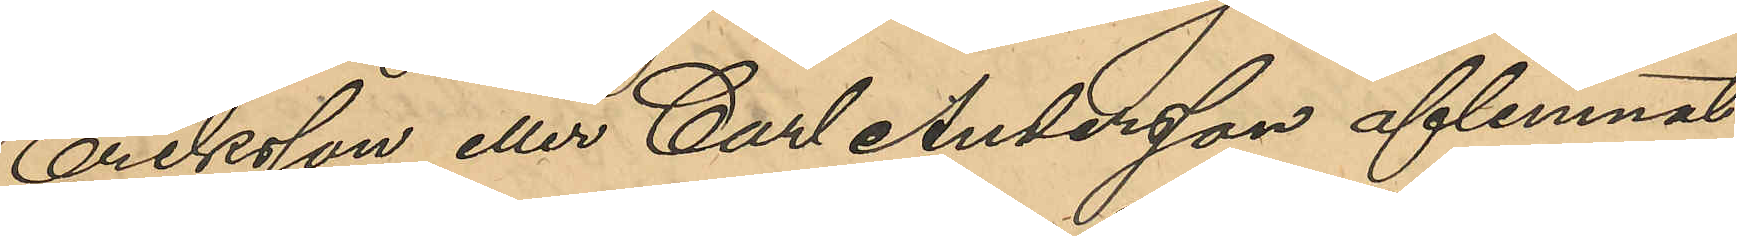Eriksson eller Carl Andersson aflemnat
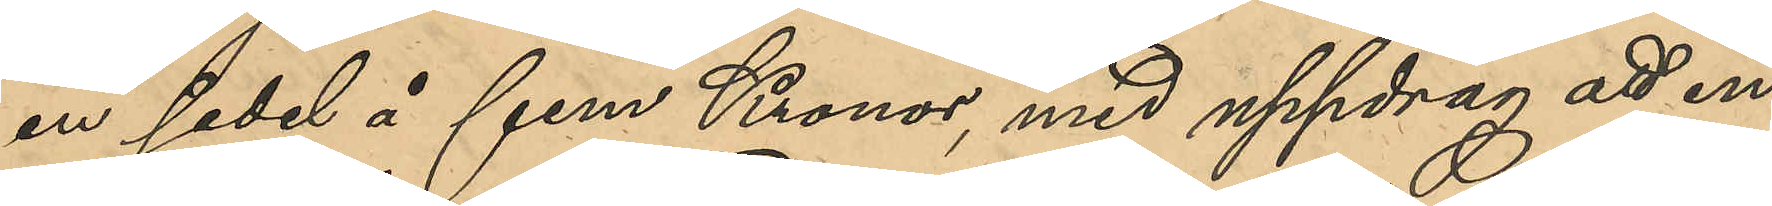en sedel å fem Kronor, med uppdrag att in¬
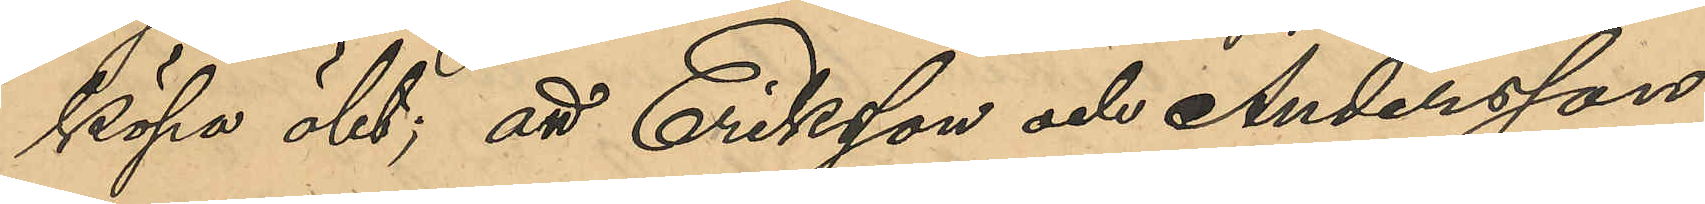köpa ölet; att Eriksson eller Andersson,
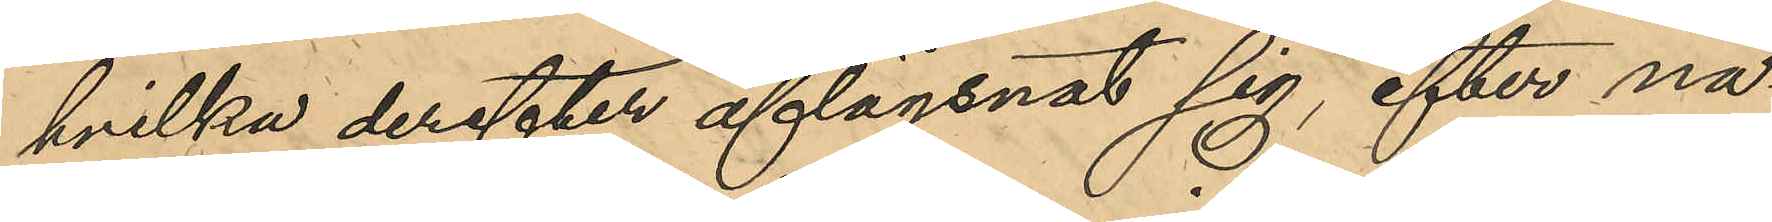hvilka derefter aflägsnat sig, efter nå¬
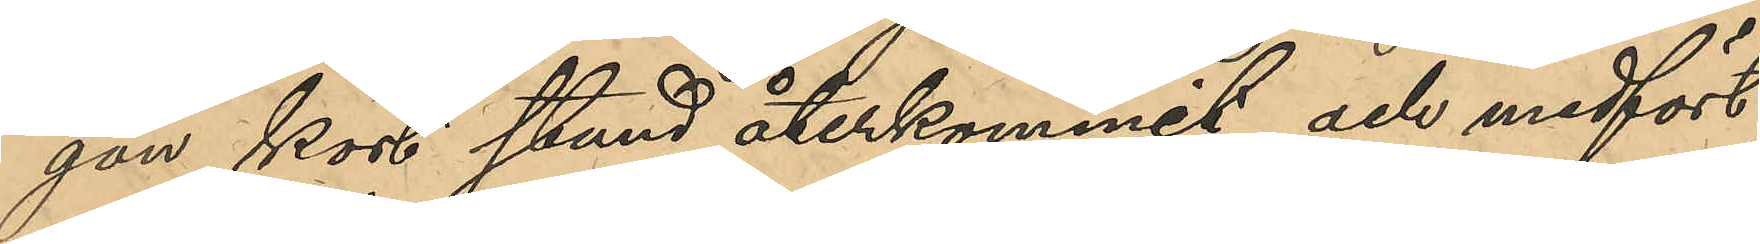gon kort stund återkommit och medfört
